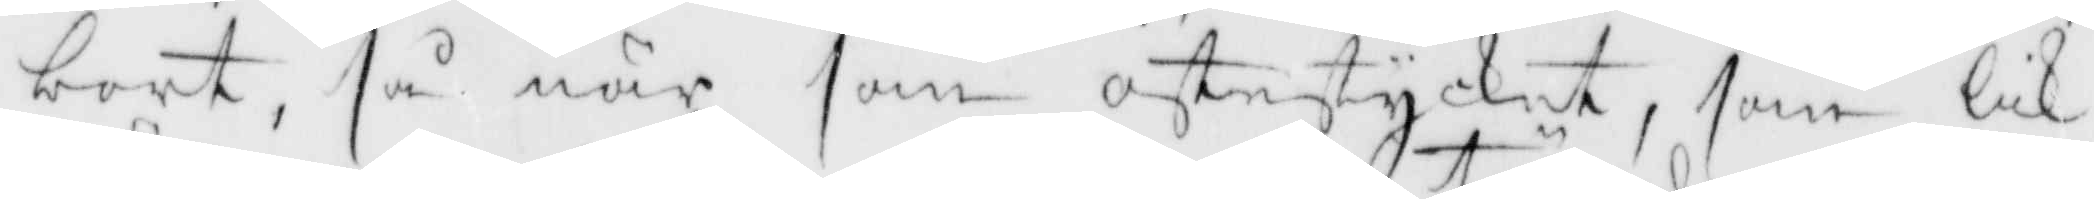bort, så när han ostestycket, som lik¬
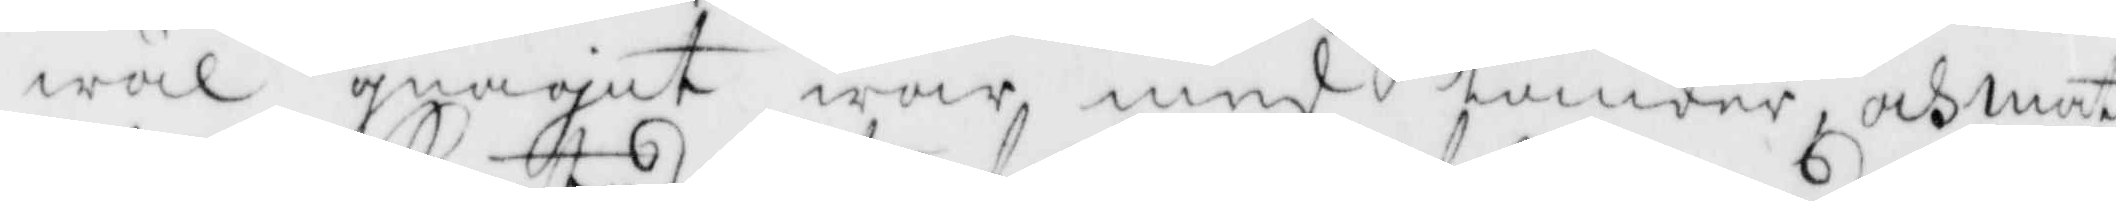wäl gnaget war med tänder, och mat¬
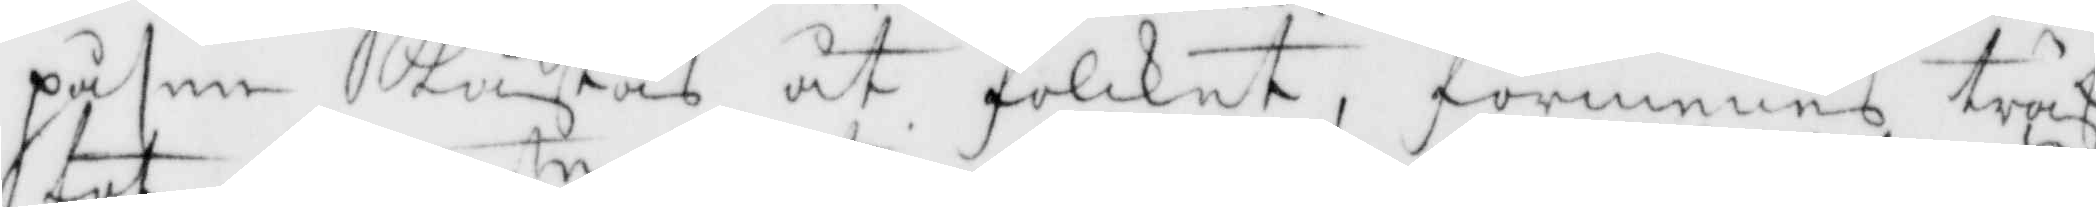påsen kastas åt folcket, förmenas träf¬
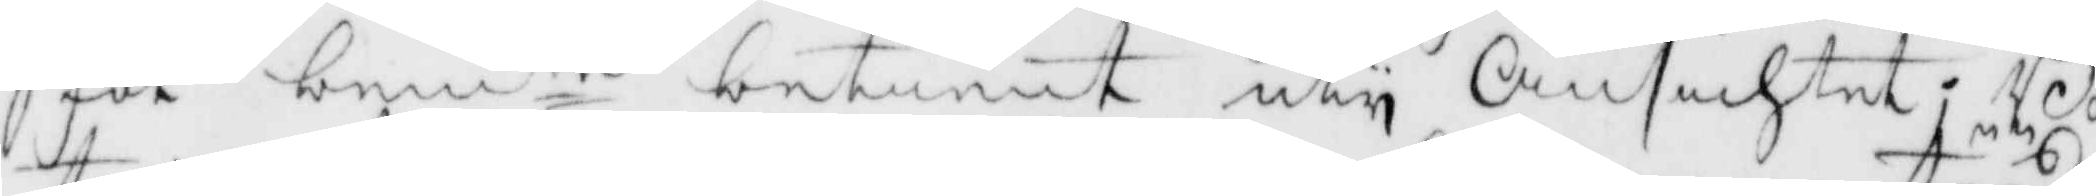fat bemte betient uty Ansichtet; Bo¬
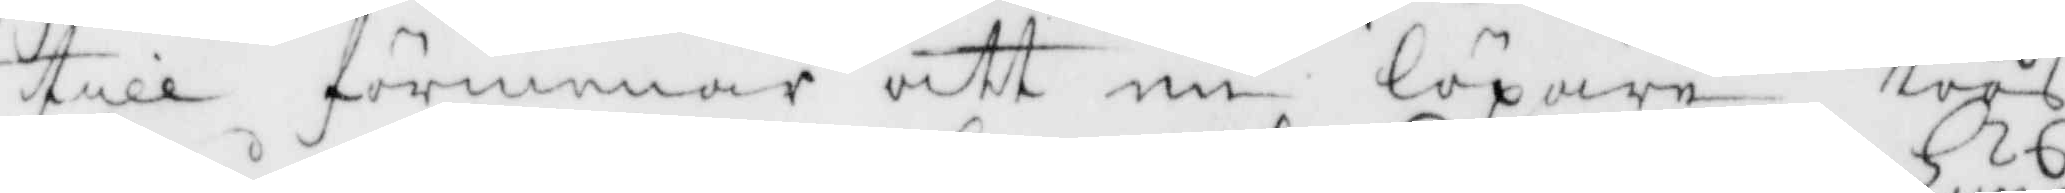till förmenar att en löpare töös
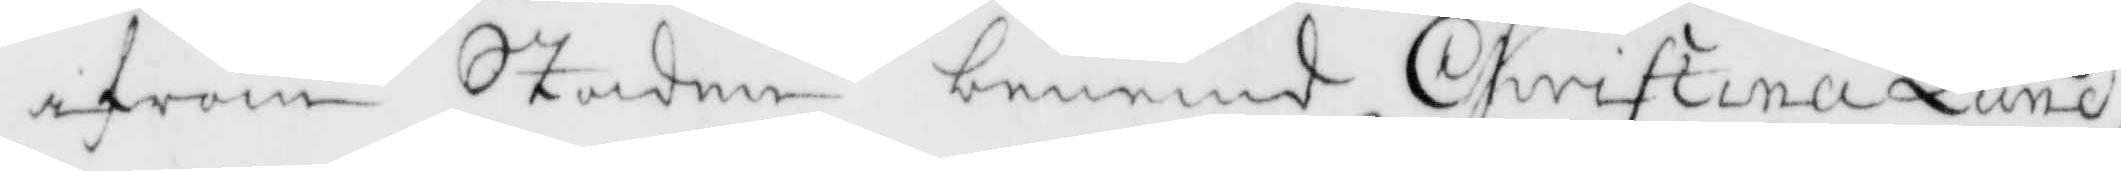ifrån Staden benemd Christina Lund,
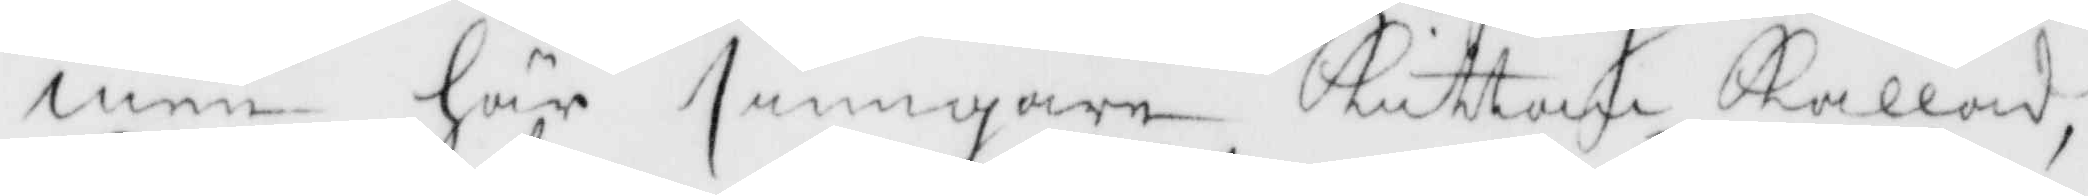men här sprigare Kuttan kallad,
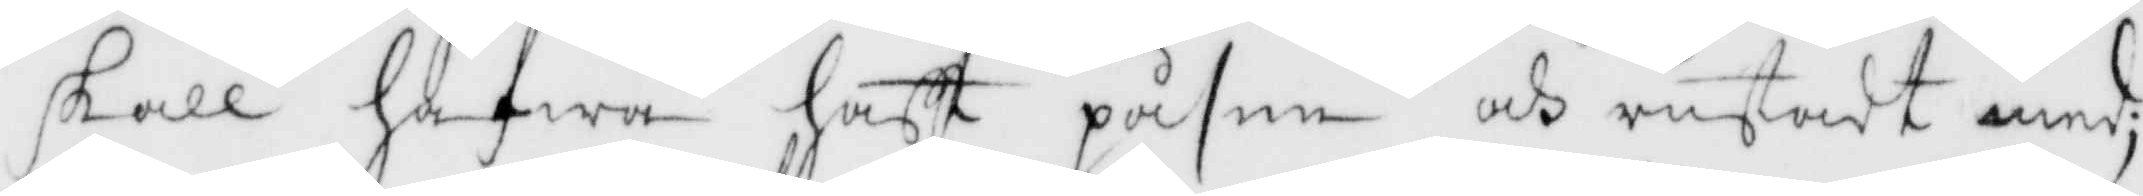skall hafwa haft påsen och rustadt med;
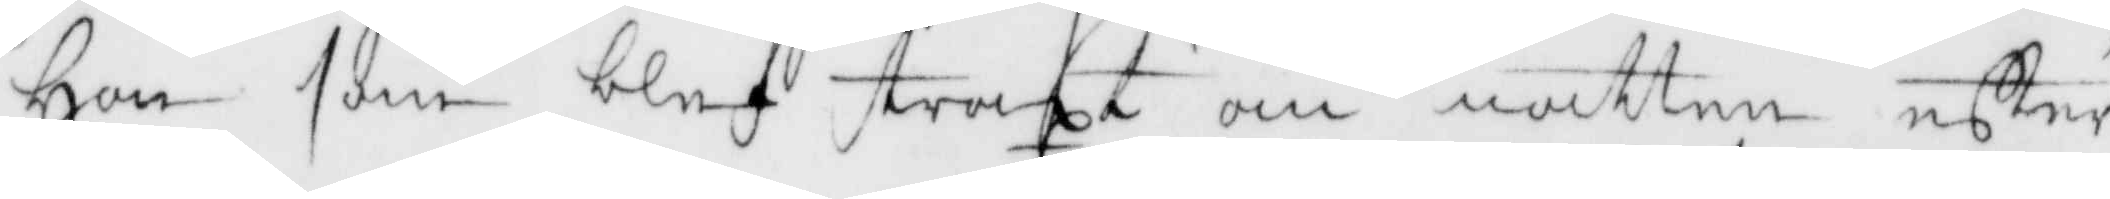Hon som blef straxt om natten efter
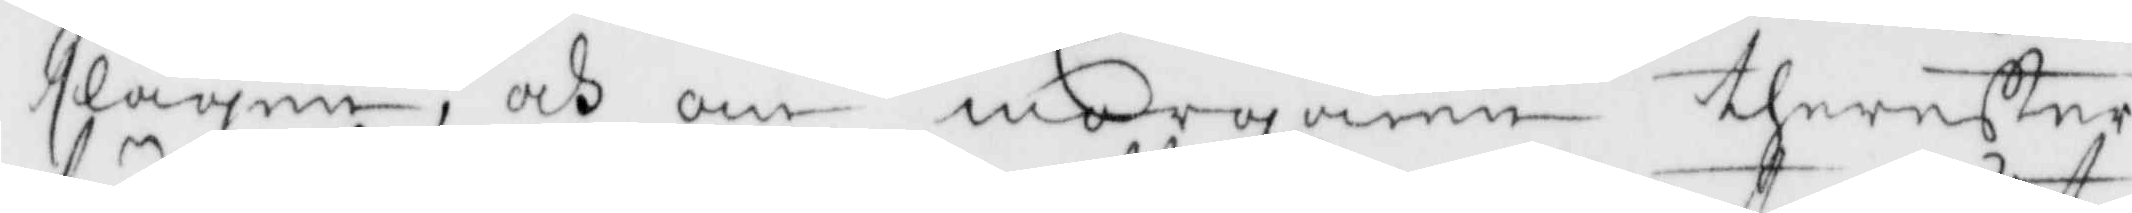slagen. och om morgonen therefter
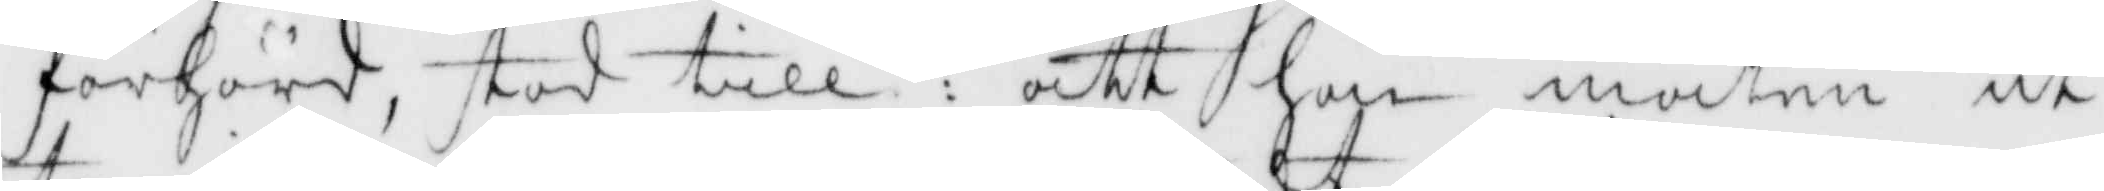förhörd, stod till: att hon maten ut¬
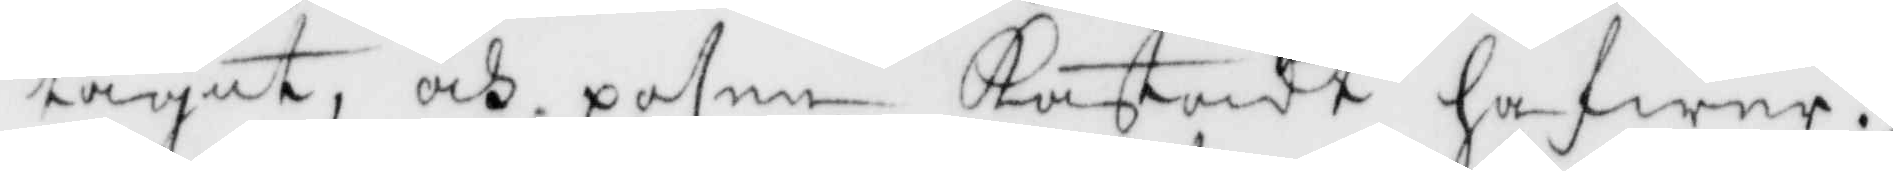tagit, och påsen Kastadt hafwer.
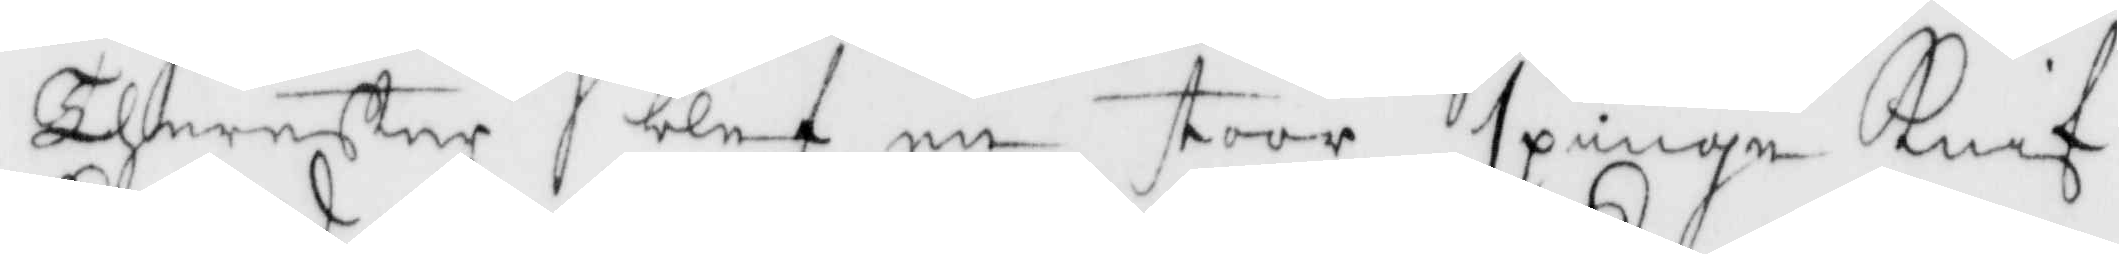Therefter blef en sroor spinge Knif
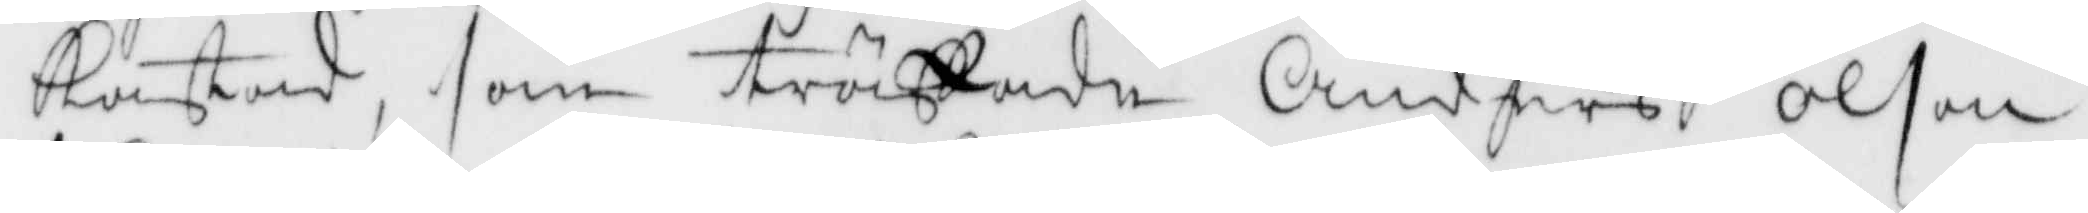Kastad, som träffade Anders Olson
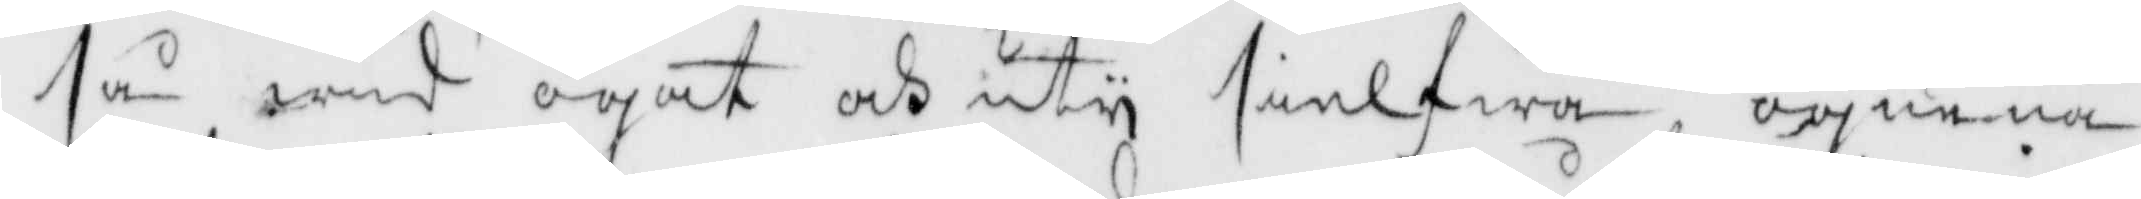tå wid ögat och uty sielfwa ögnenä¬
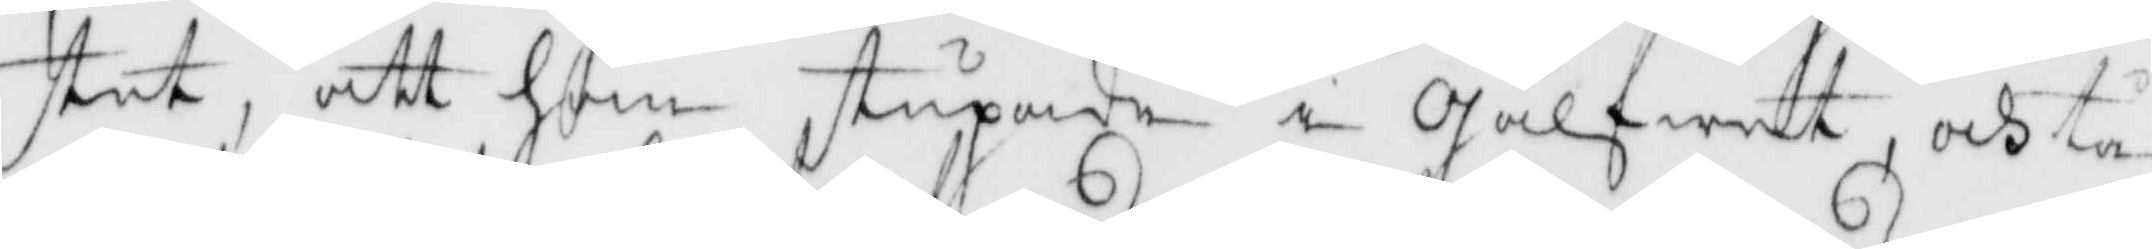stet, att han stupade i gålfwet, och tå
